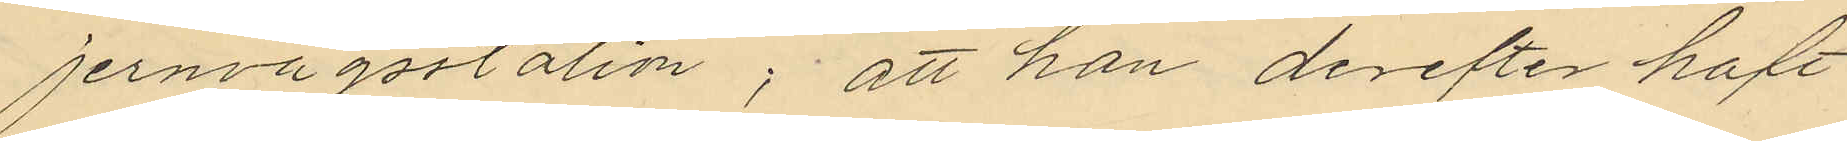jernvägsstation; att han derefter haft
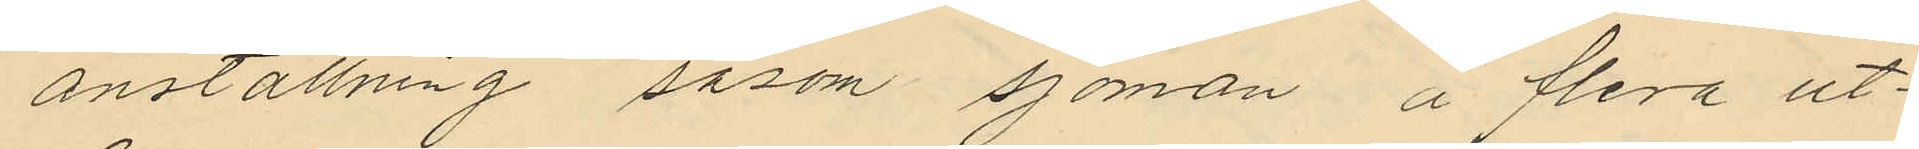anställning såsom sjöman å flera ut¬
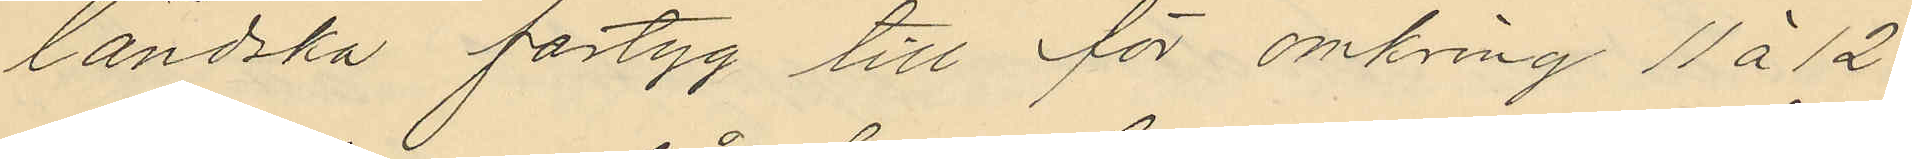ländska fartyg till för omkring 11 á 12
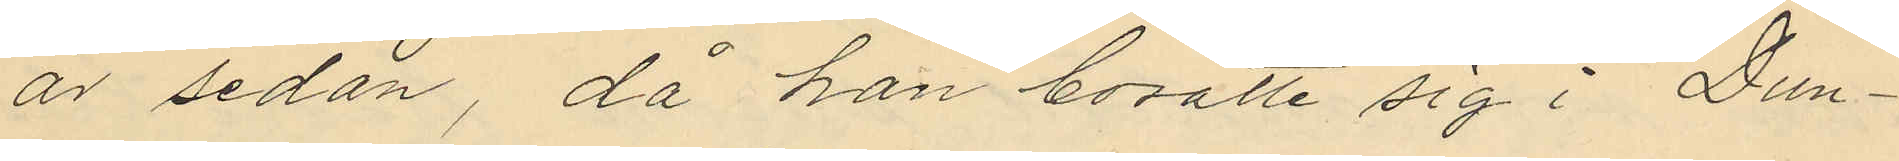år sedan, då han bosatte sig i Dun¬
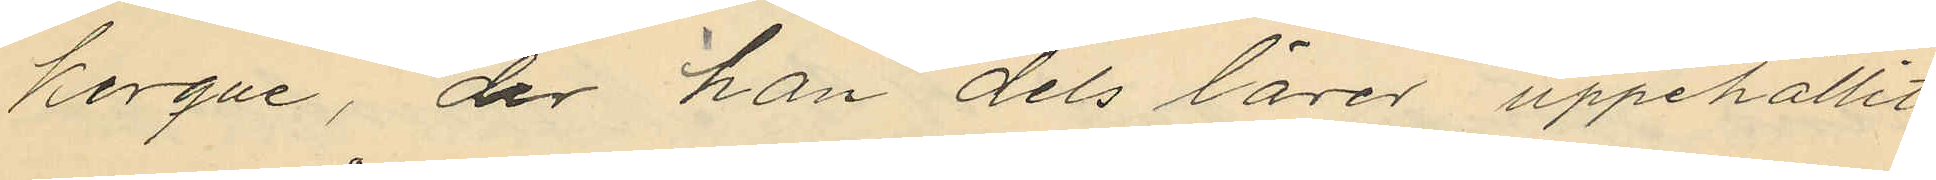kerque, der han dels lärer uppehållit
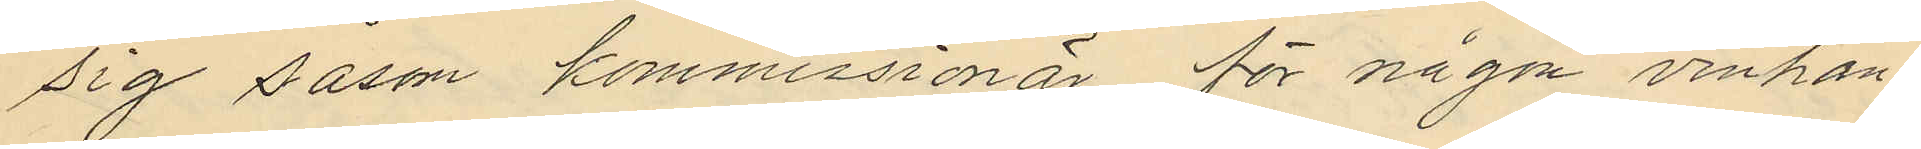sig såsom kommissionär för någon vinhan¬
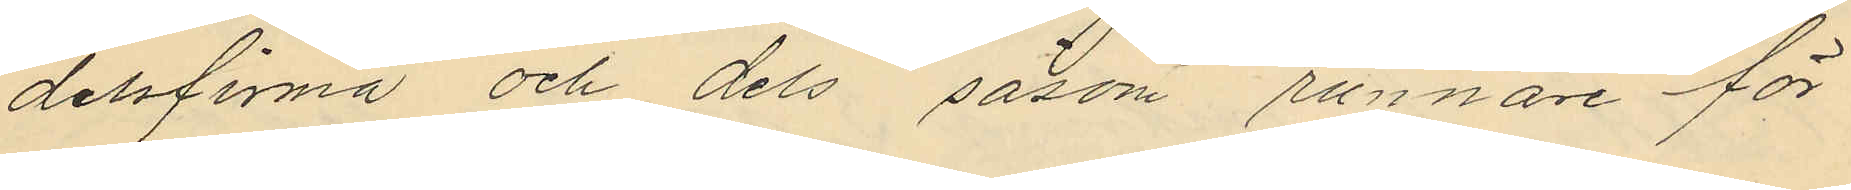delsfirma och dels såsom runnare för
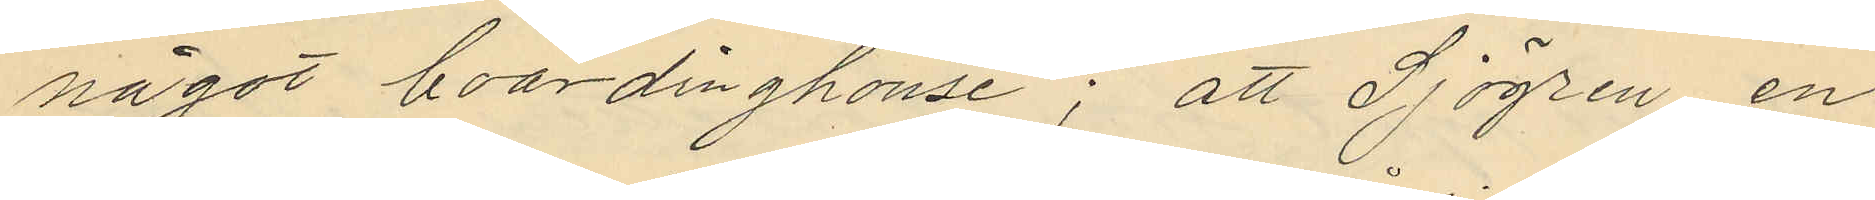något boardinghouse; att Sjögren en
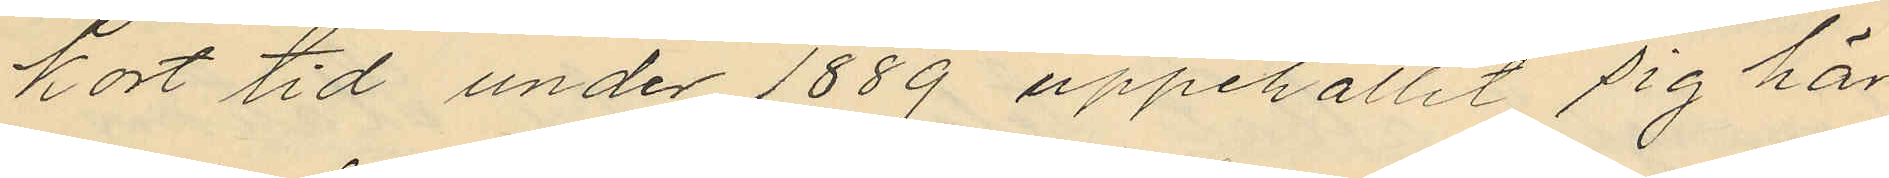kort tid under 1889 uppehållit sig här
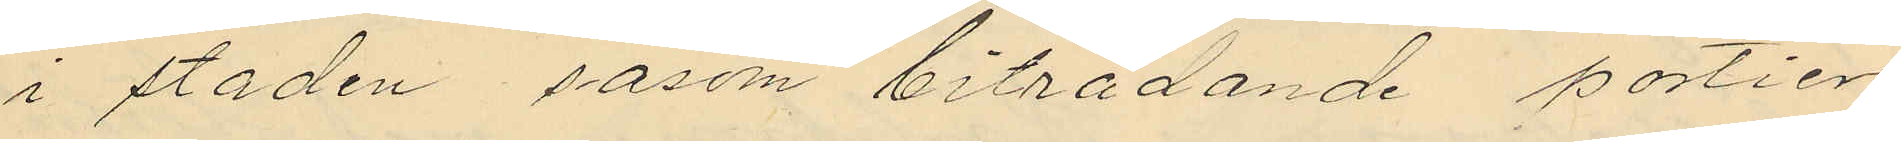i staden såsom biträdande portier
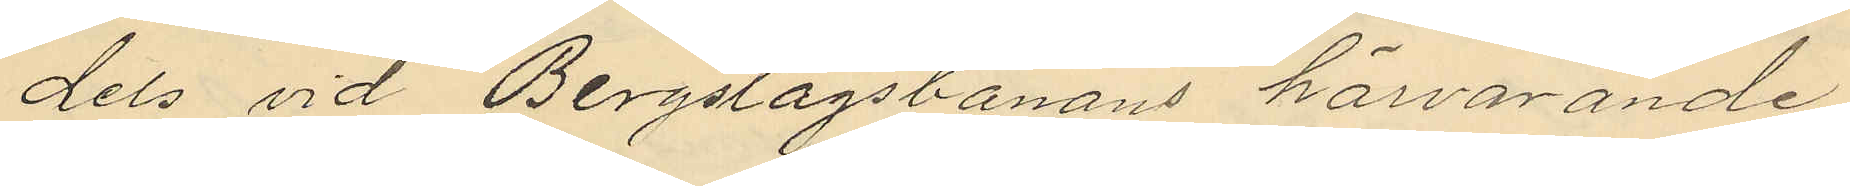dels vid Bergslagsbanans härvarande
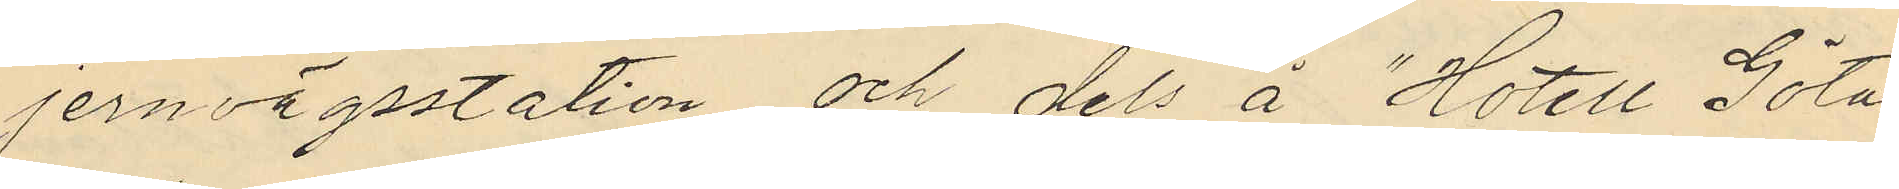jernvägsstation och dels å "Hotell Göta
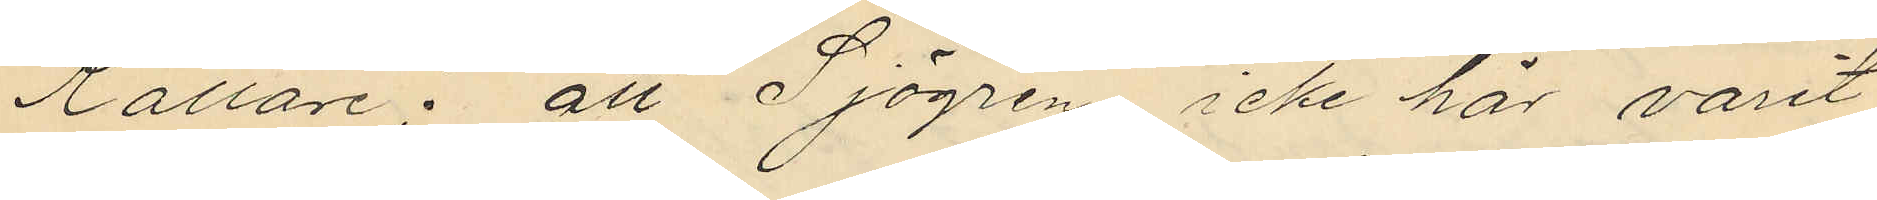Källare"; att Sjögren icke här varit
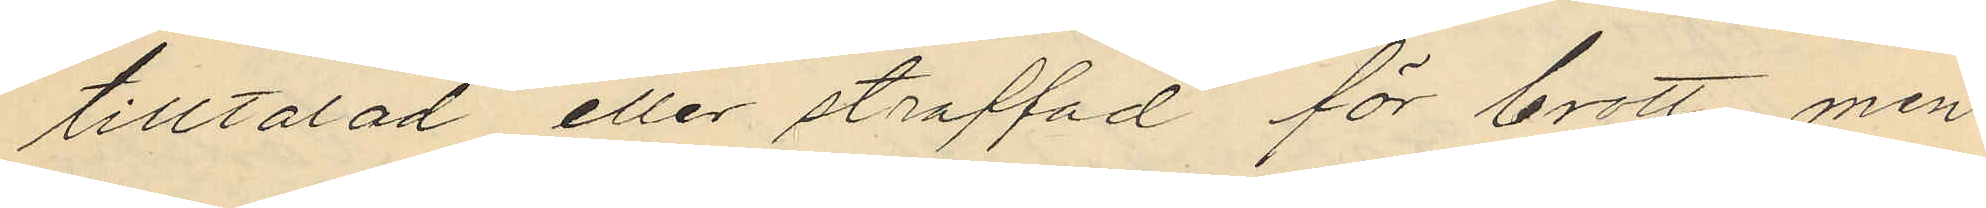tilltalad eller straffad för brott, men
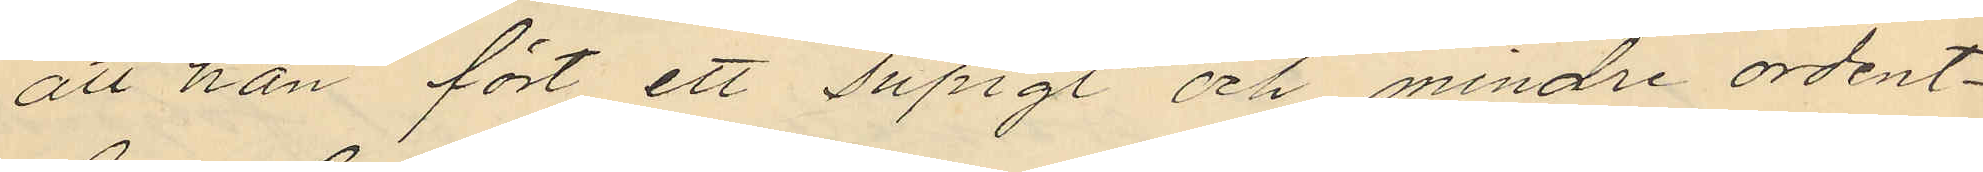att han fört ett supigt och mindre ordent¬
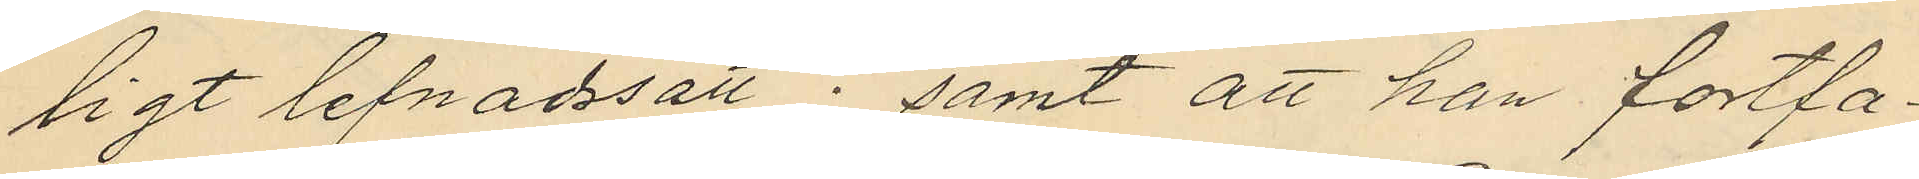ligt lefnadssätt; samt att han fortfa¬
